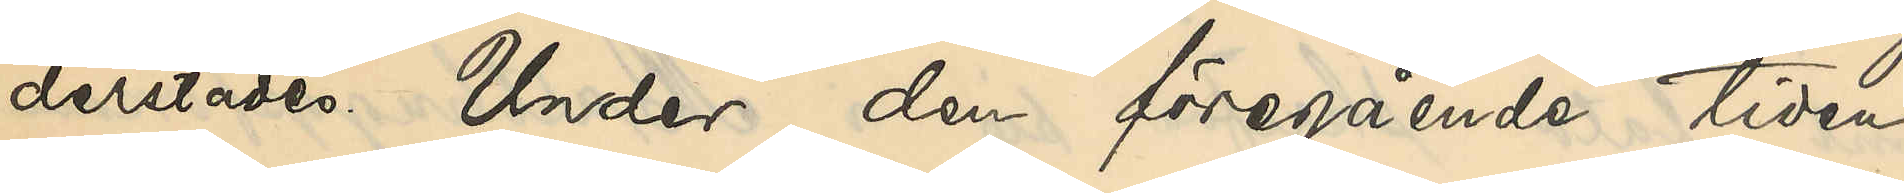derstädes. Under den föregående tiden
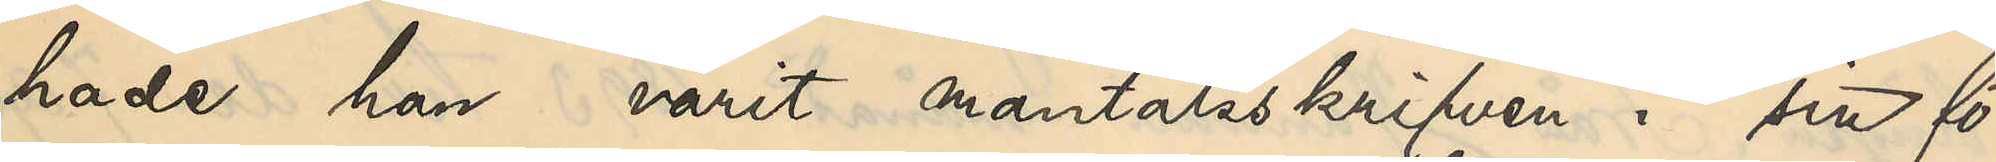hade han varit mantalsskrifven i sin fö¬
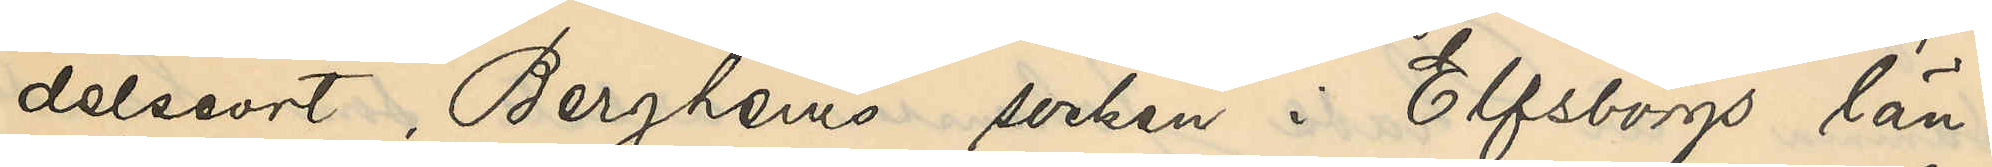delseort, Berghems socken i Elfsborgs län.
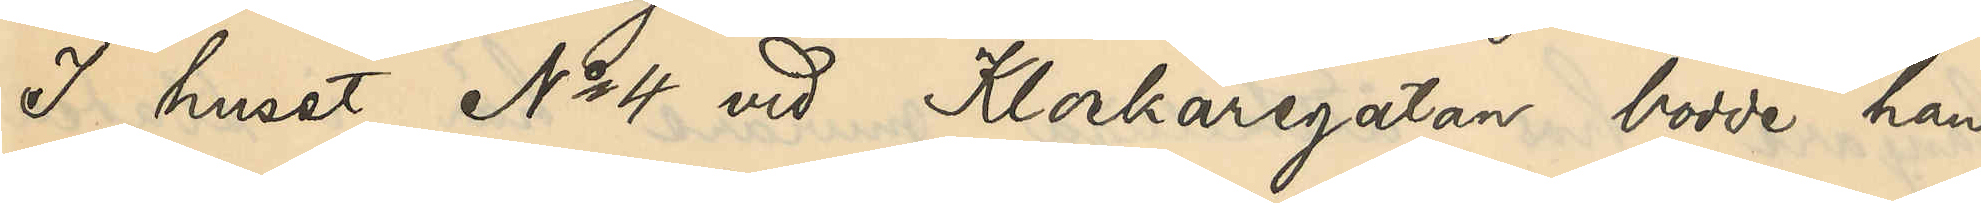I huset No 4 vid Klockaregatan bodde han
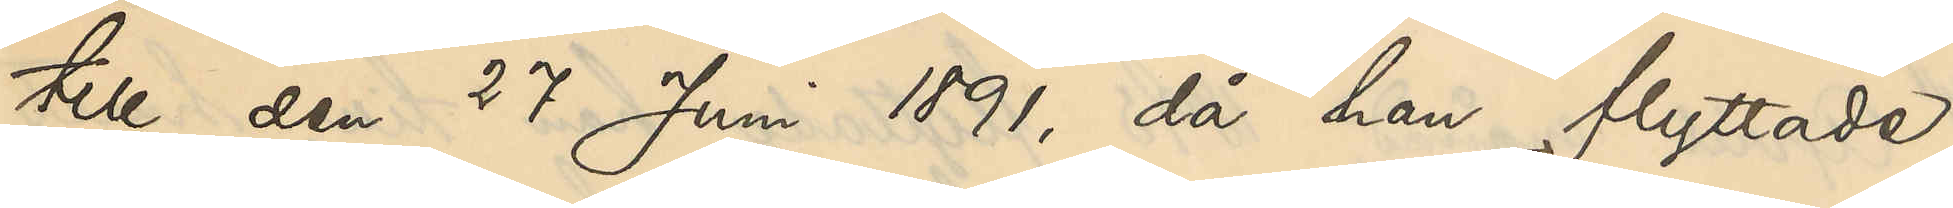till den 27 Juni 1891, då han flyttade
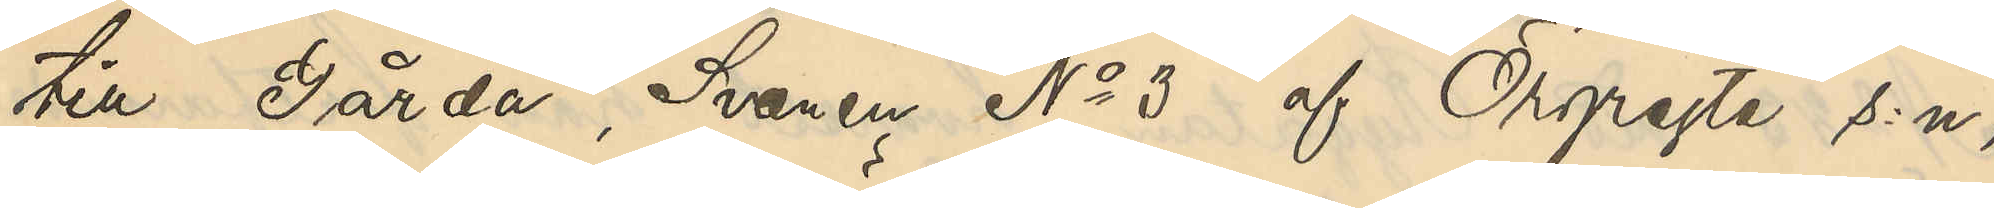till Gårda, Svanen No 3 af Örgryte s:n;
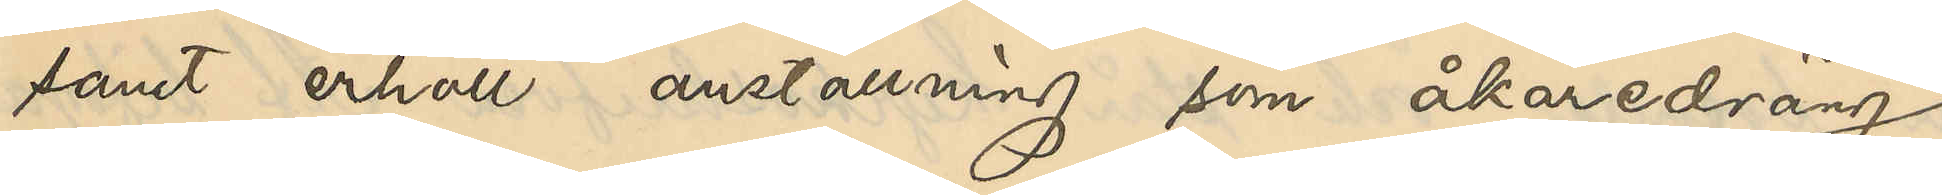samt erhöll anställning som åkaredräng
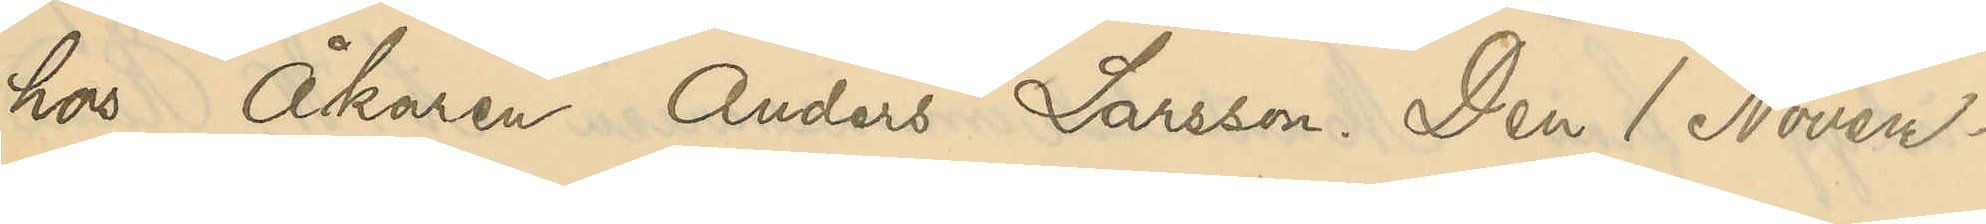hos Åkaren Anders Larsson. Den 1 Novem¬
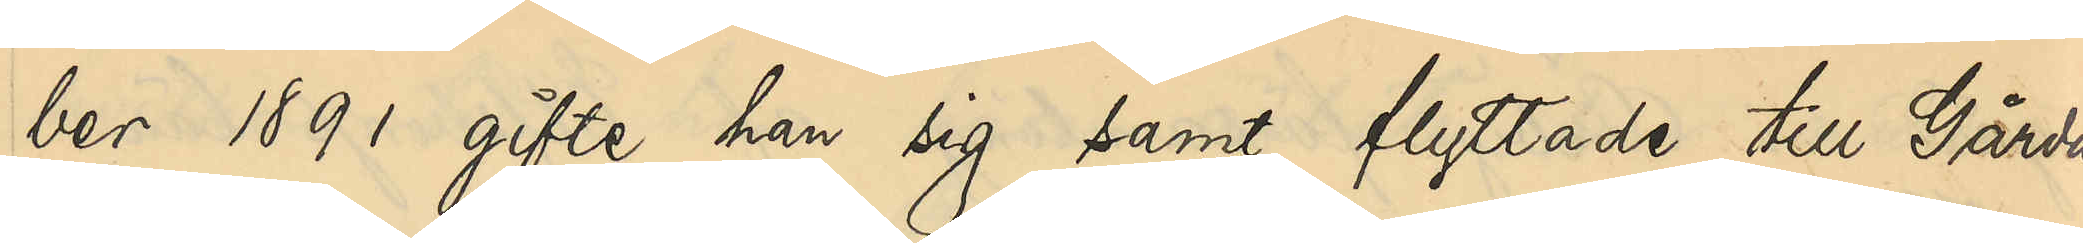ber 1891 gifte han sig samt flyttade till Gårda,
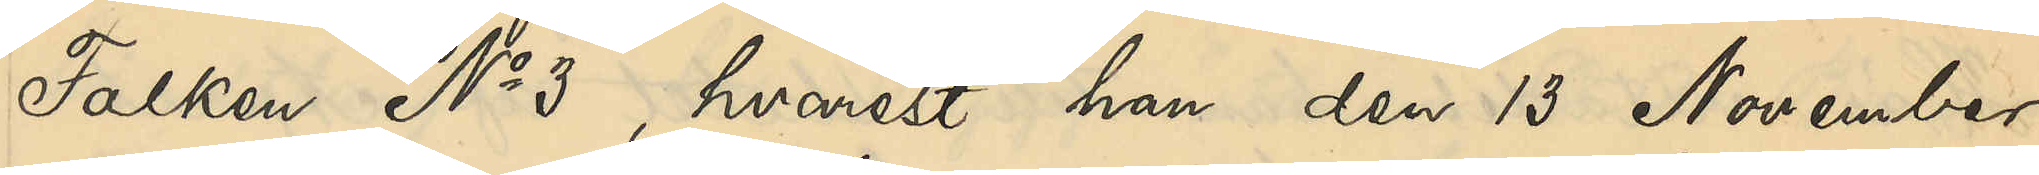Falken No 3, hvarest han den 13 November
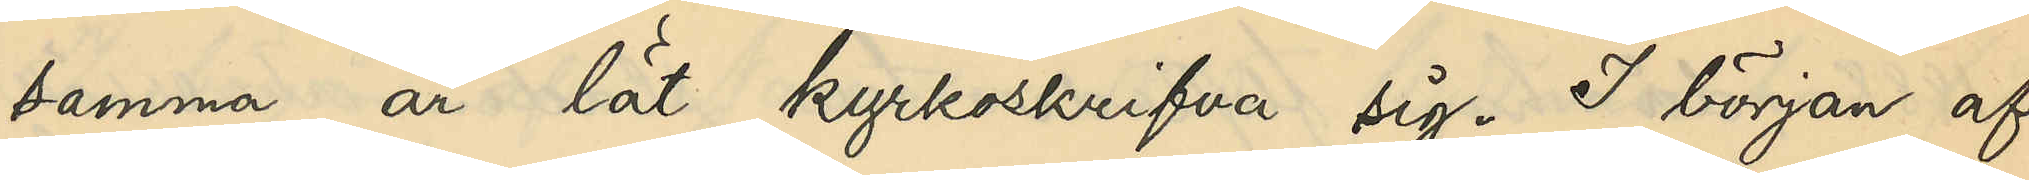samma år lät kyrkoskrifva sig. I början af
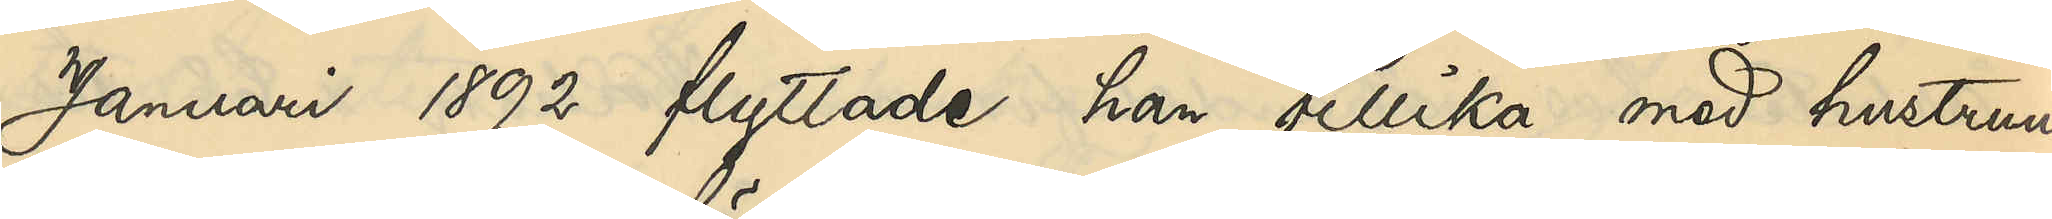Januari 1892 flyttade han tillika med hustrun
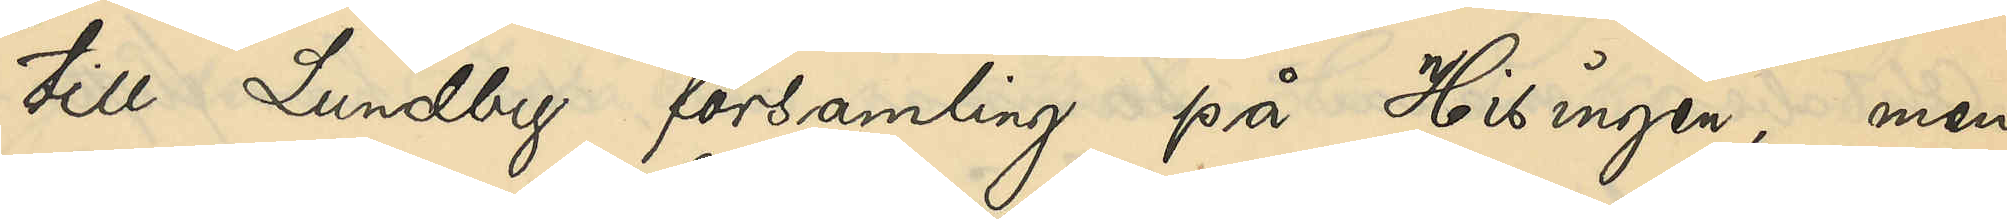till Lundby församling på Hisingen, men
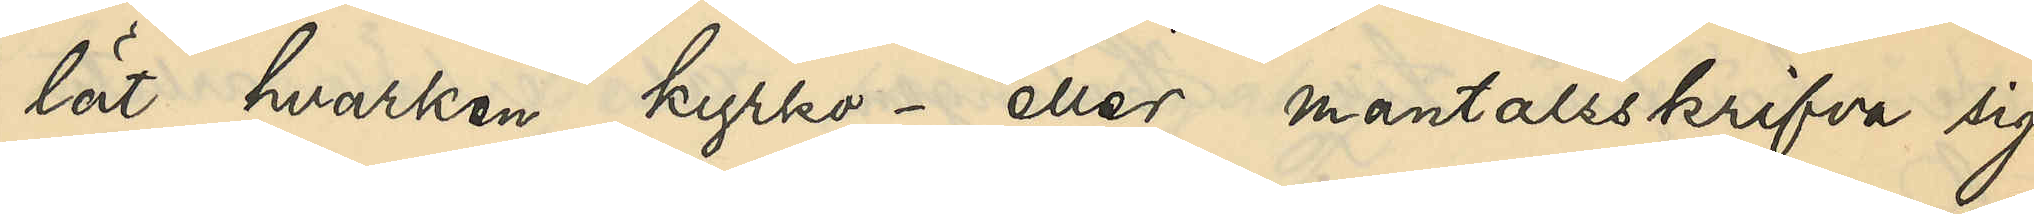lät hvarken kyrko- eller mantalsskrifva sig
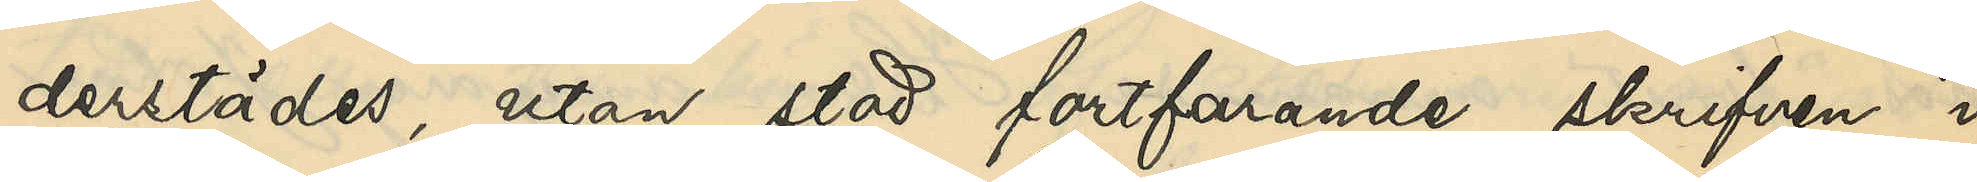derstädes, utan stod fortfarande skrifven i
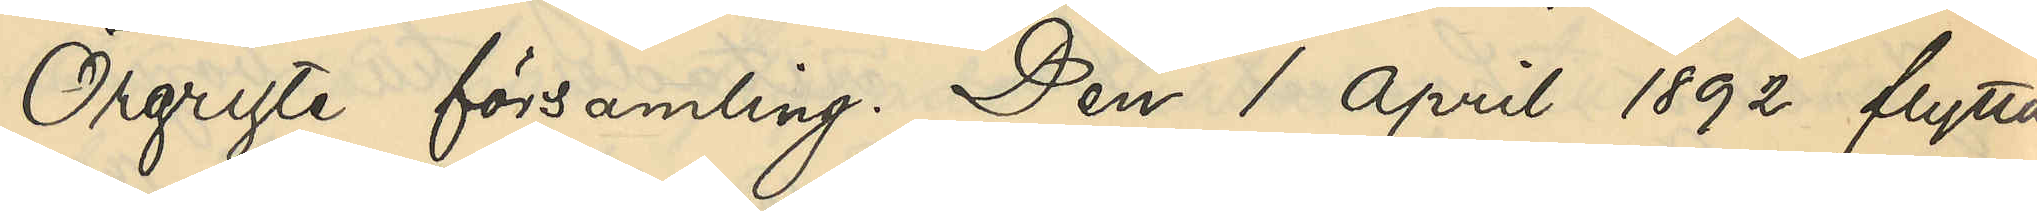Örgryte församling. Den 1 April 1892 flytta¬
